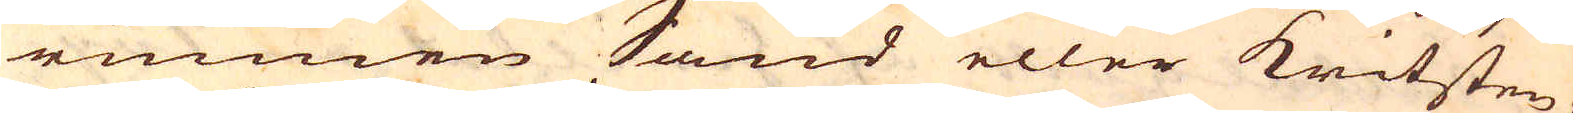runnen Sand eller kritsten,
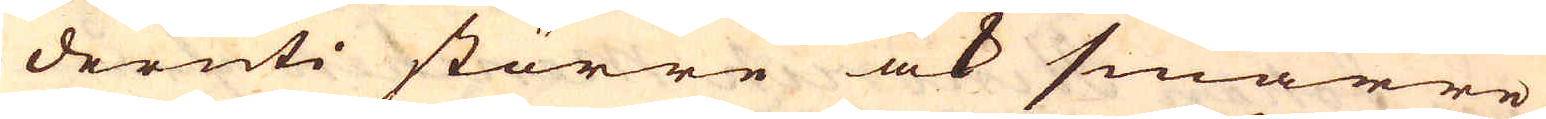deruti större ock smärre
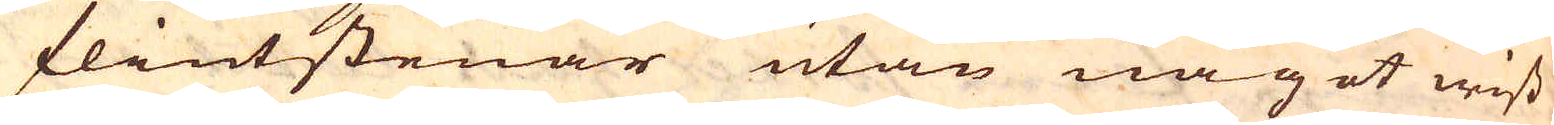flintstenar utan något wiss
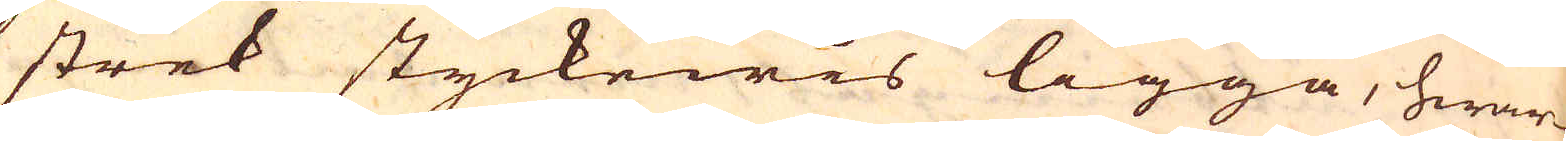strek styckewis ligga, hwar-
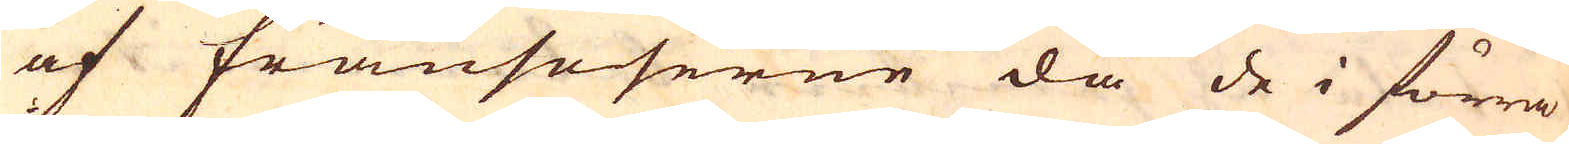af Fransoserne då de i förra
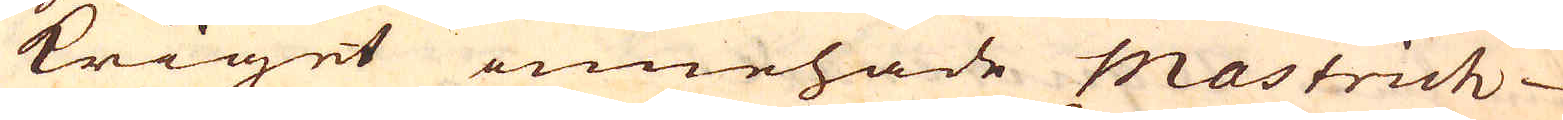kriget innehade mastrich
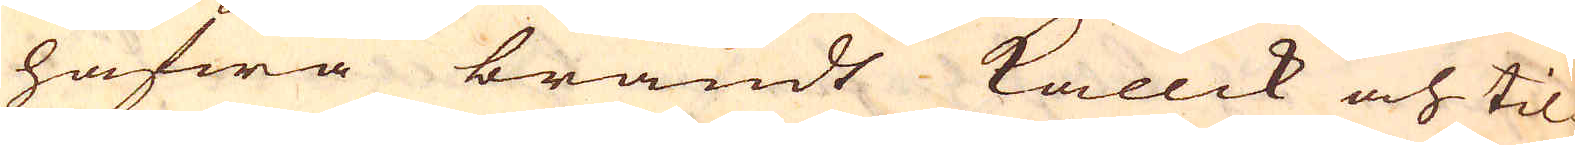hafwa brändt kallck och til
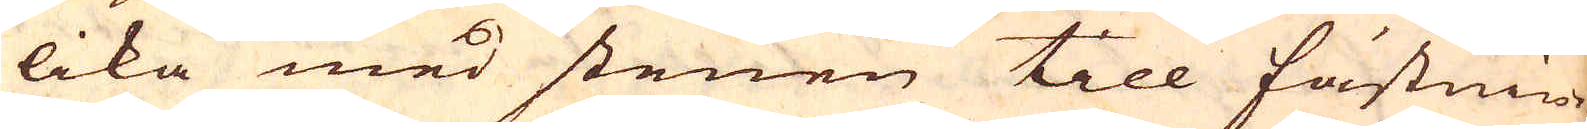lika med stenen till fästnin-
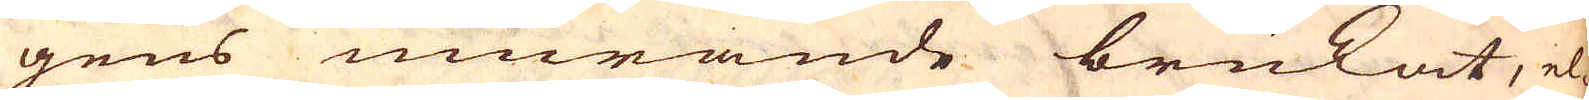gens murande brukat, el-
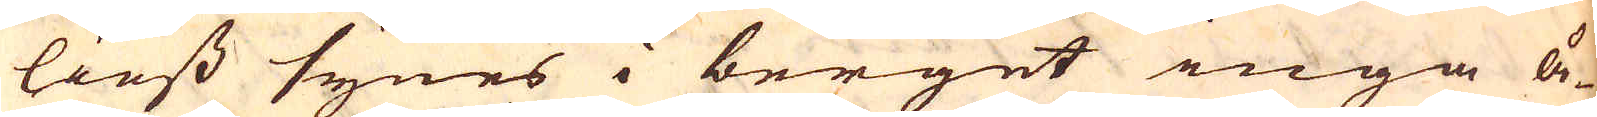liess synes i berget inga å-
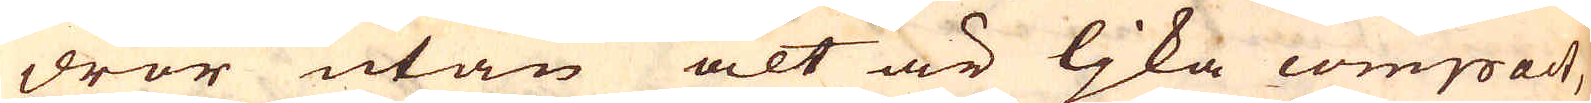dror utan alt är ljka compact,
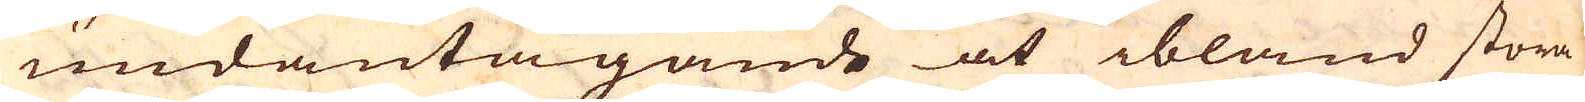undantagande at ibland stora
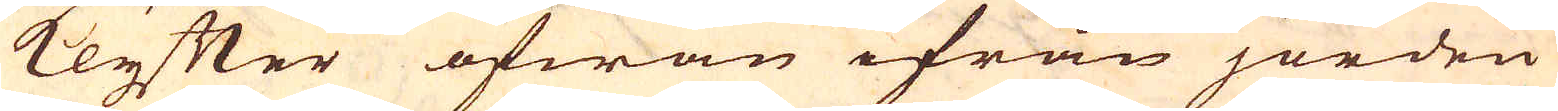klyfter ofwan ifrån jorden
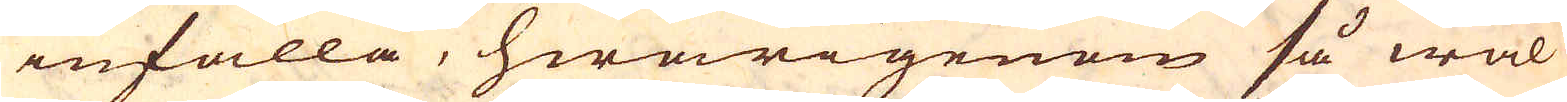infalla, hwarigenom så wäl
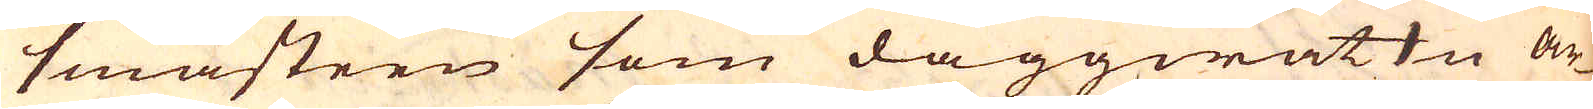småsteen som daggwattn ar-
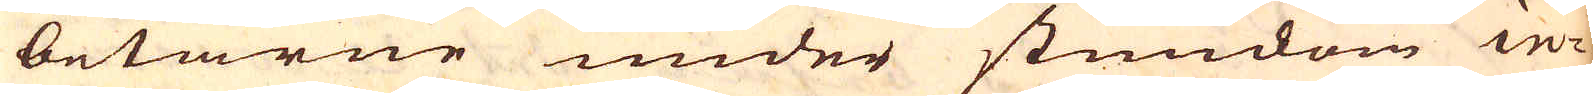betarne under stundom in-
